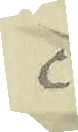c.
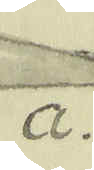a.
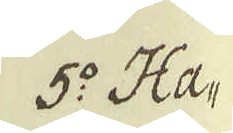5:o Ha-
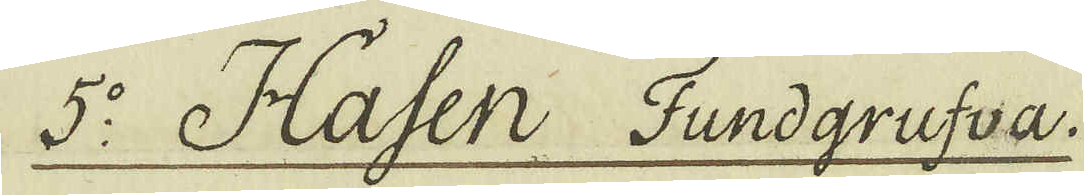5:o Hasen Fundgrufva.
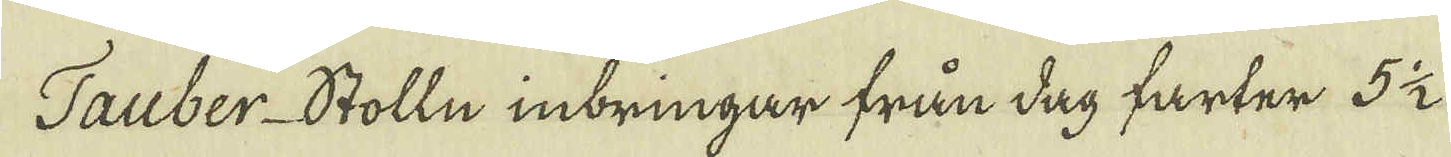Tauber-Stolln inbringar från dag farter 5 1/2
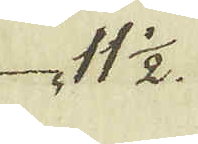11 1/2.
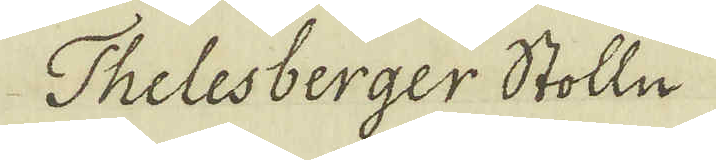Thelesberger Stolln
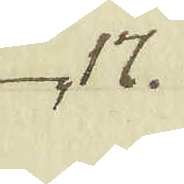17.
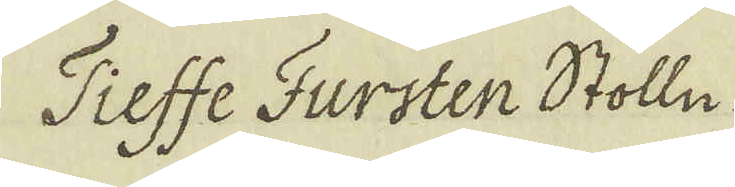Tieffe Fursten Stolln
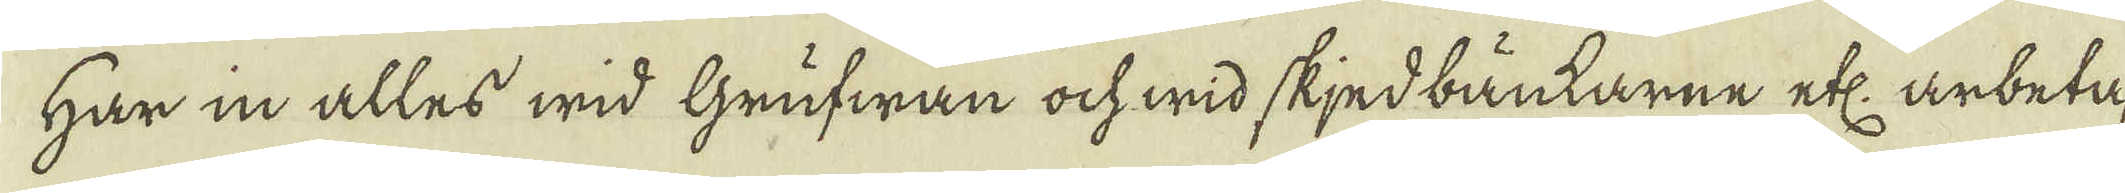Har in alles wid Grufwan ock wid skjedbänkarne etc: arbeta-
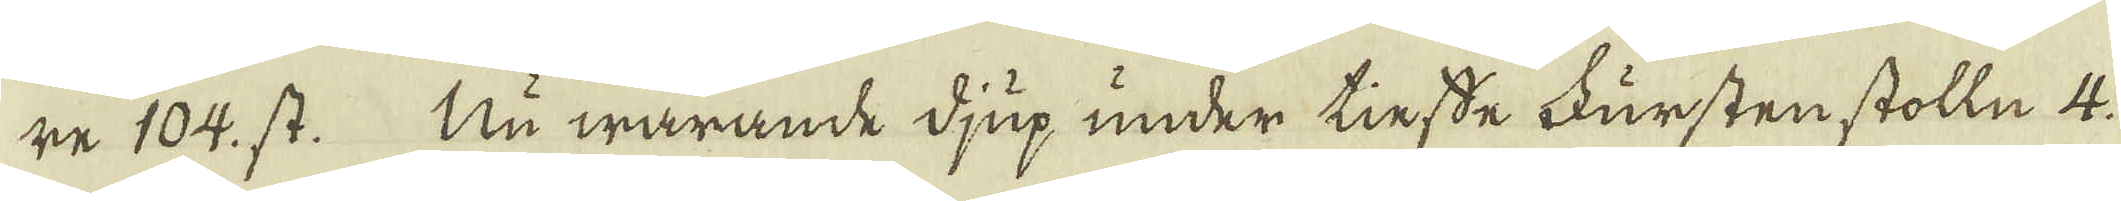re 104. st. Nu warande djup under tinsde Fürsten stolln 4.
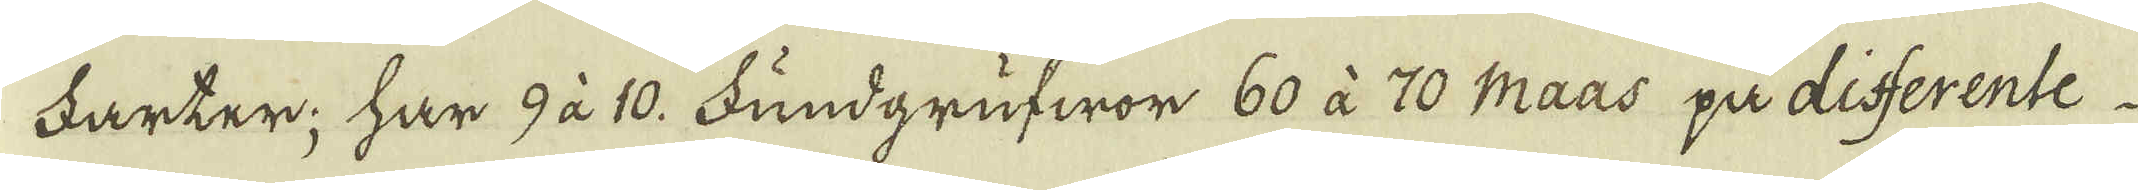Farter; har 9 à 10. Fundgrufwor 60 à 70 Maas på disserente
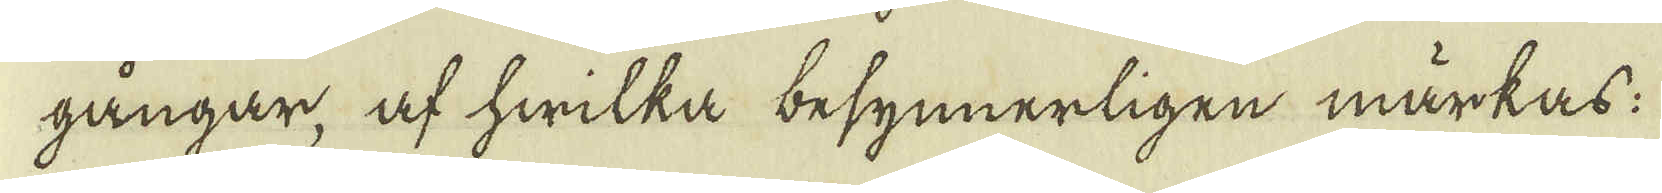gångar, af hwilka besynnerligen märkas:
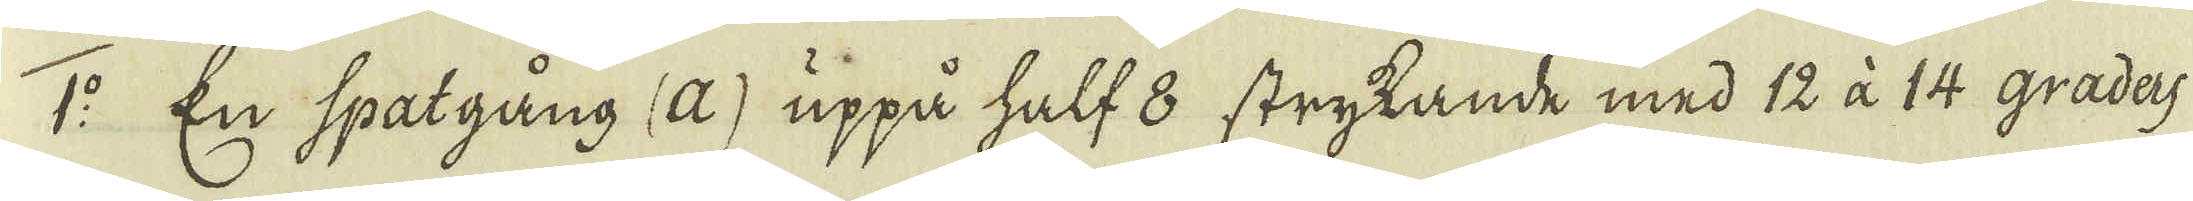1:o En spatgång (a) uppå half 8 strykande med 12 à 14 gradas
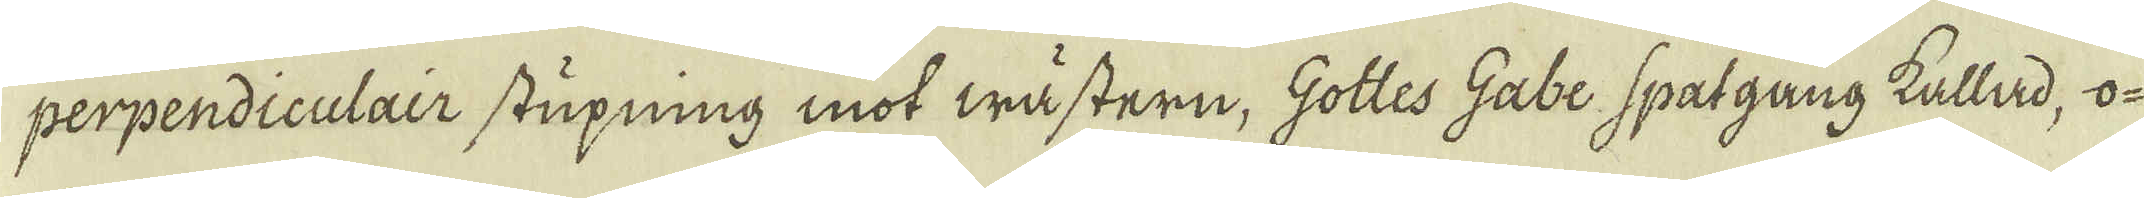perpendiculair stupning mot wästern, Gottes Gabe spatgang kallad, o-
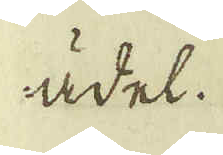ädel.
